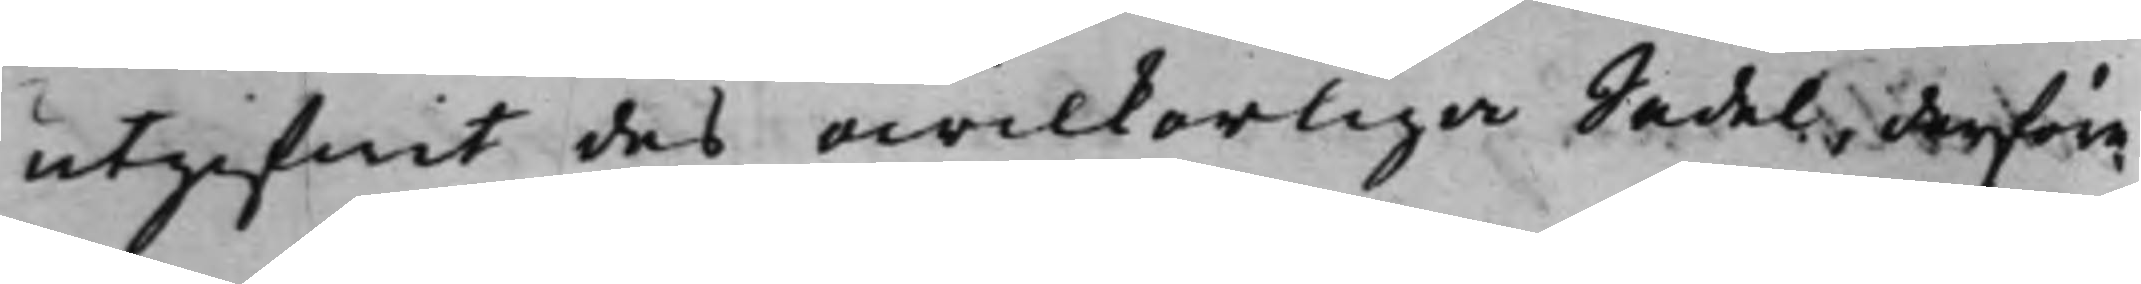utgifwit des owilkorliga Sedel, derföre
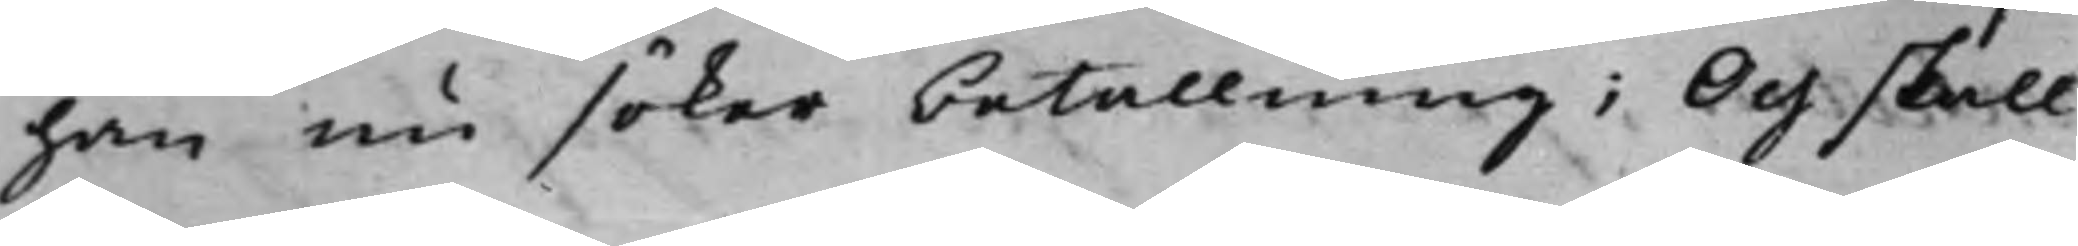han nu söker betallning; Och skall
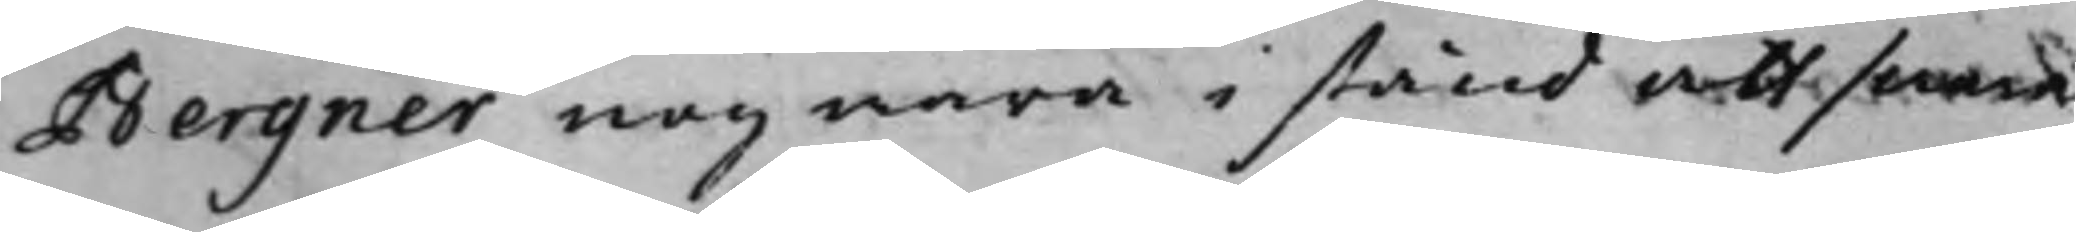Bergner nog wara i stånd att swara.
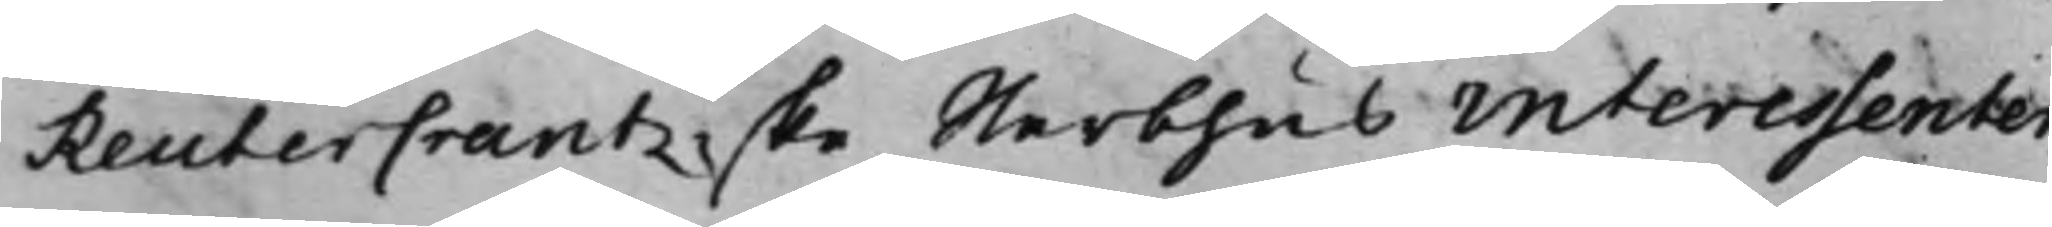ReuterCrantzske Sterbhus interessenter,
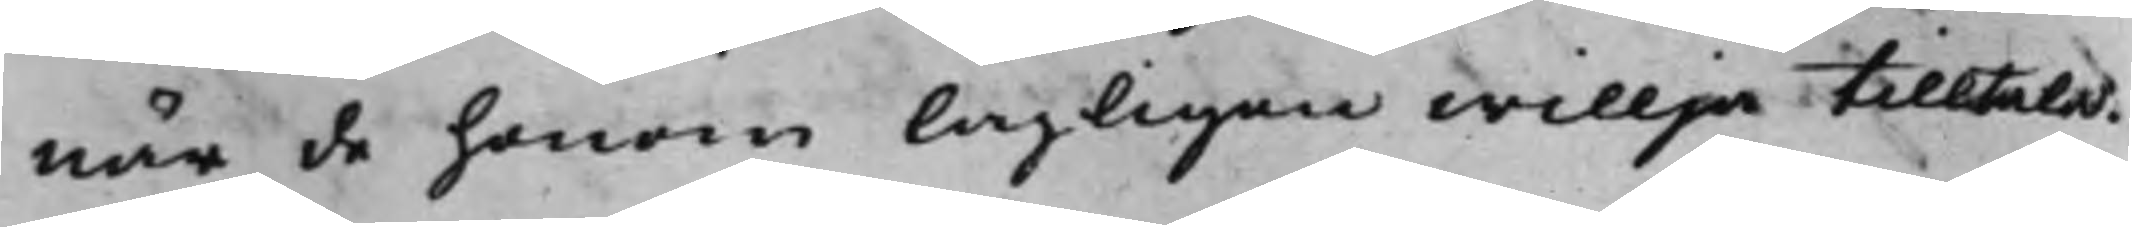när de honom lagligen willja tilltala.
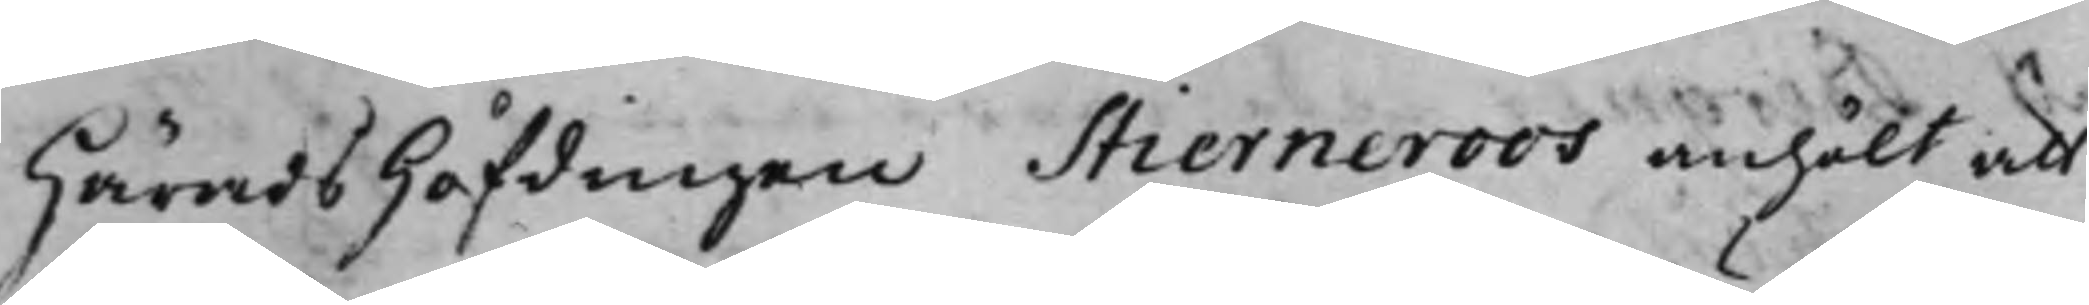HäradsHöfdingen Stierneroos anhölt att
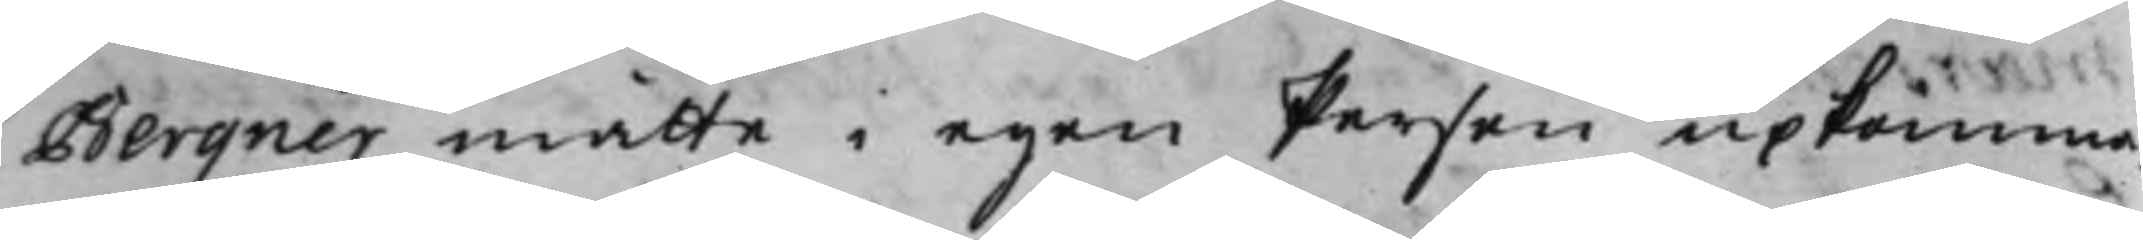Bergner måtte i egen Person upkomma
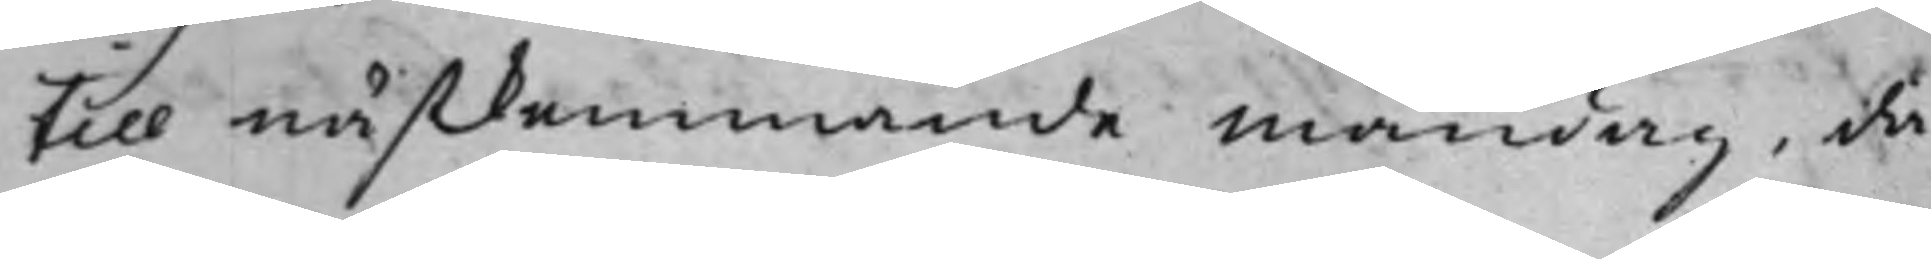till nästkommande måndag, då
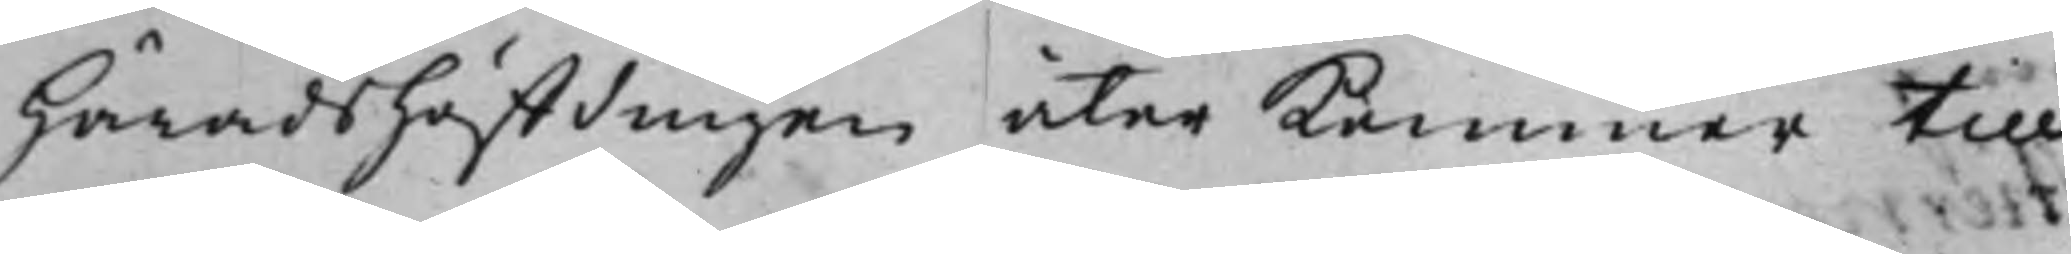HäradsHöffdingen åter kommer till
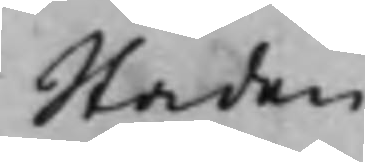Staden.
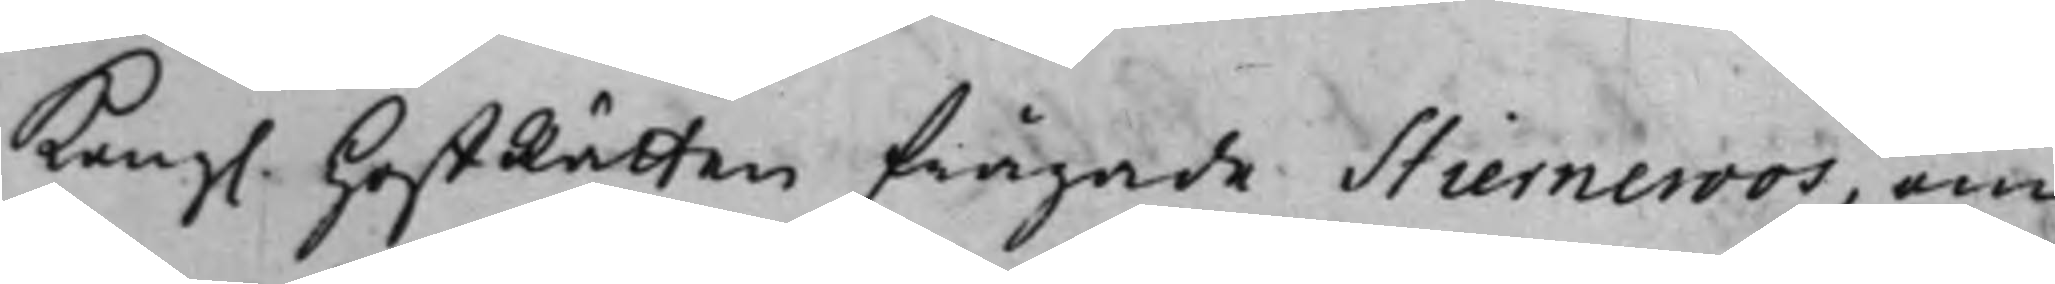Kong. HoffRätten frågade Stierneroos, om
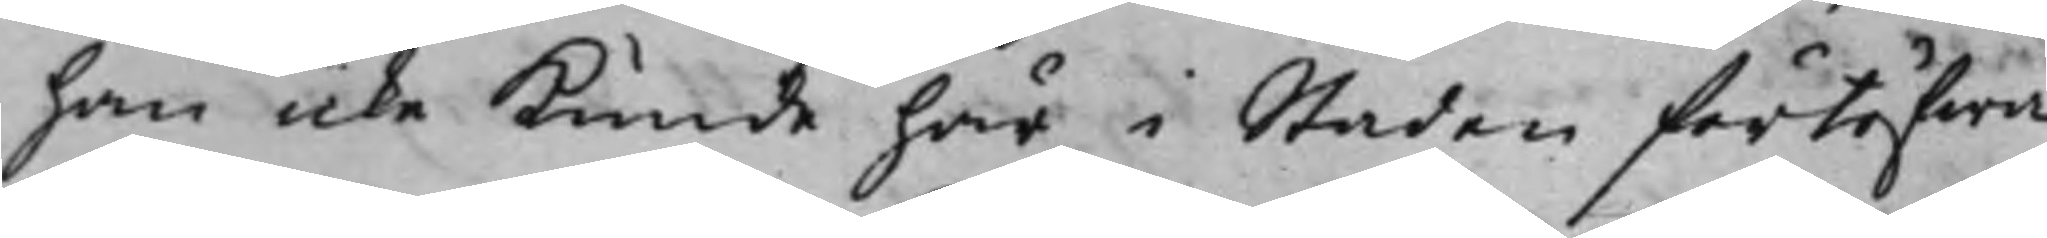han icke kunde här i Staden förtöfwa
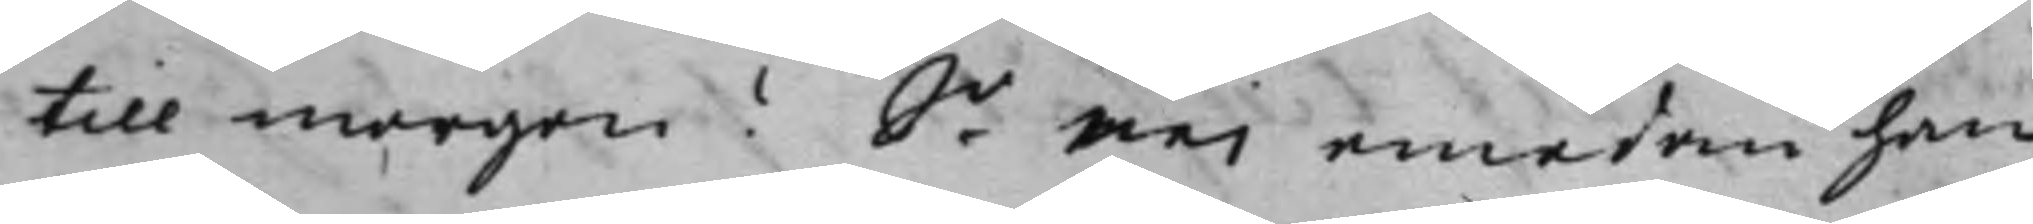till morgon? Se nei emedan han
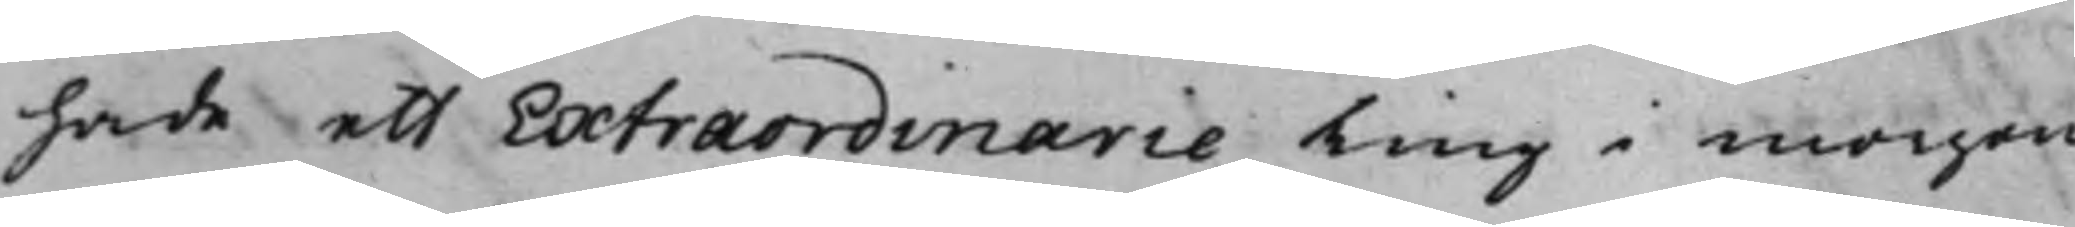hade ett Extraordinarie Ting i morgon
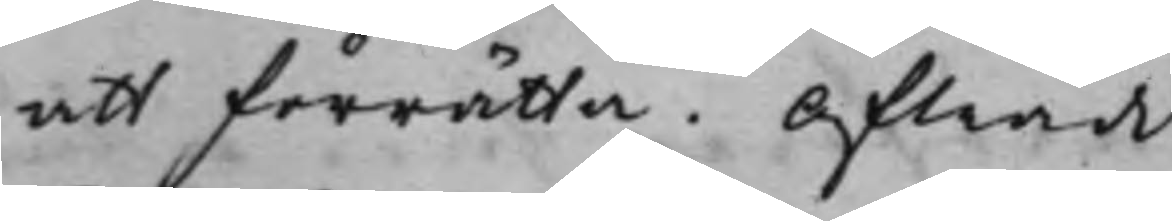att förrätta. Afträdde.
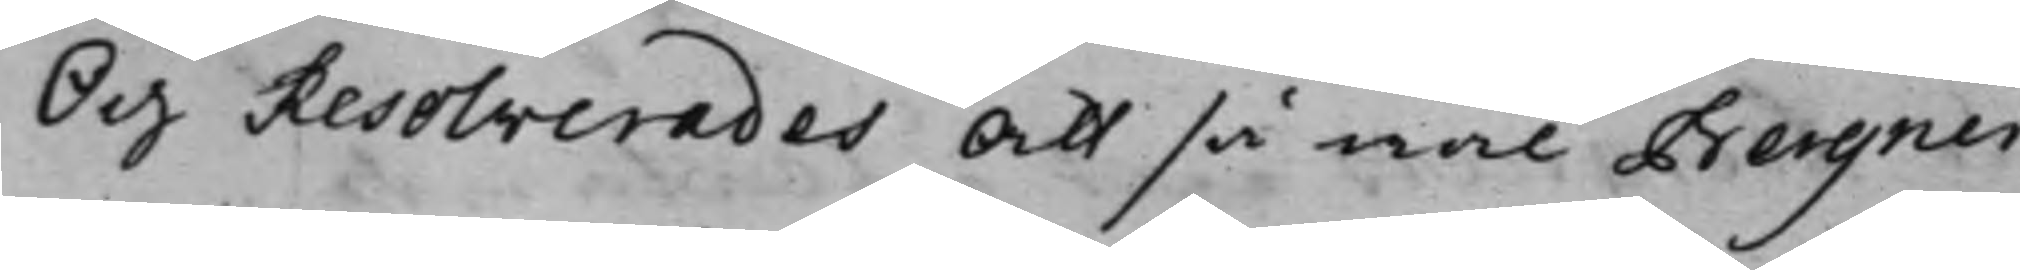Och Resolverades att så wäl Bergner
